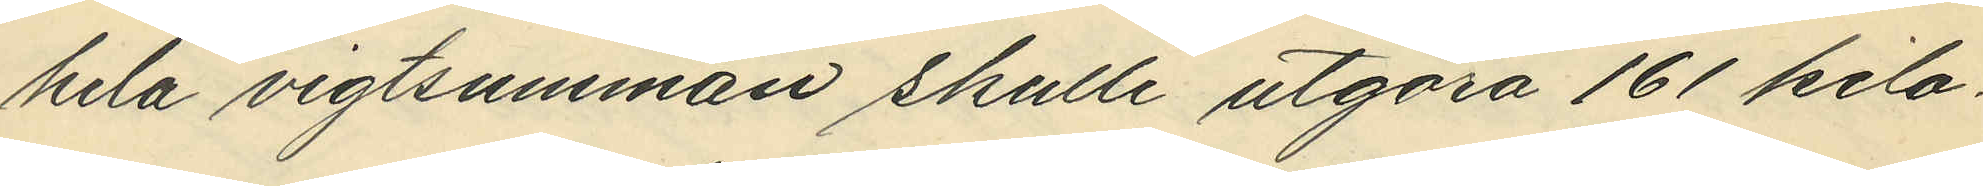hela vigtsumman skulle utgöra 161 kilo¬
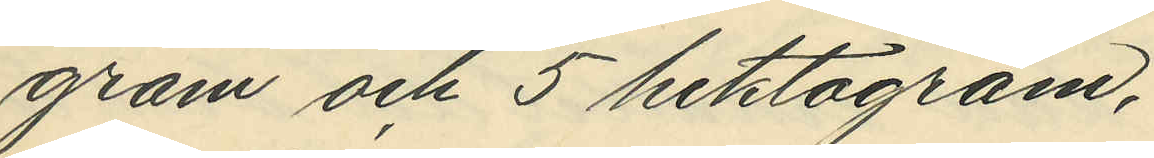gram och 5 hektogram,
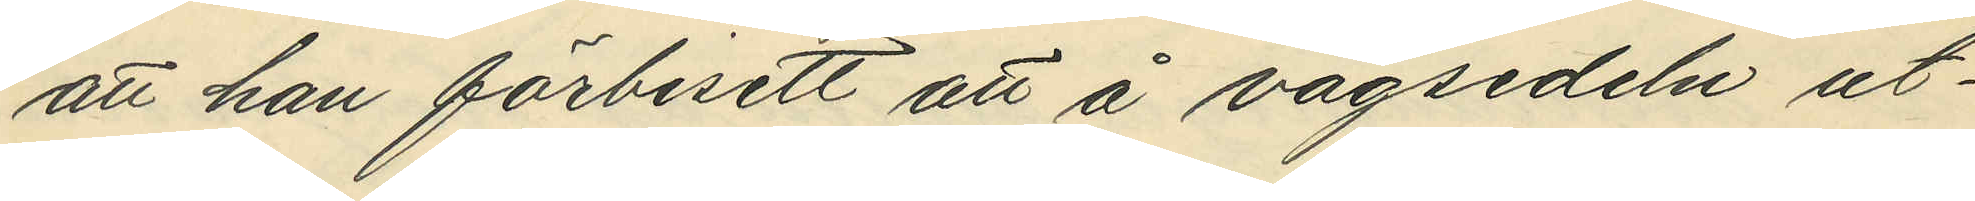att han förbisett att å vågsedeln ut¬
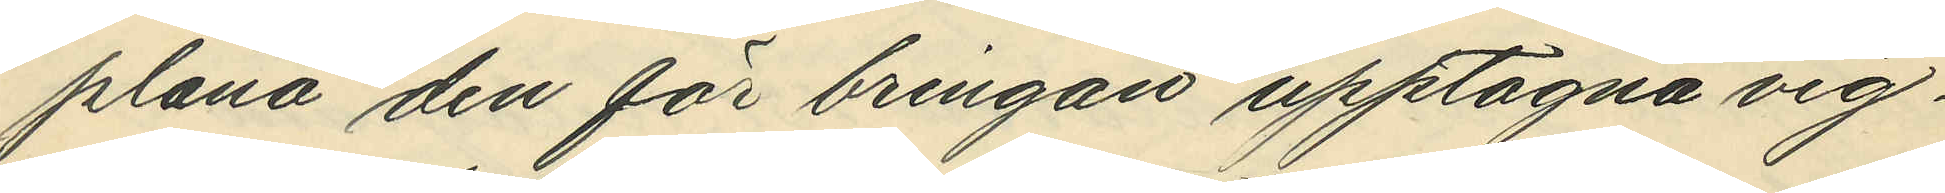plåna den för bringan upptagna vig¬
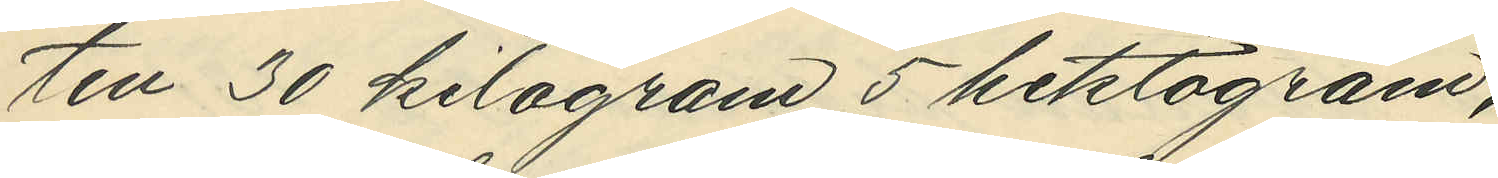ten 30 kilogram 5 hektogram,
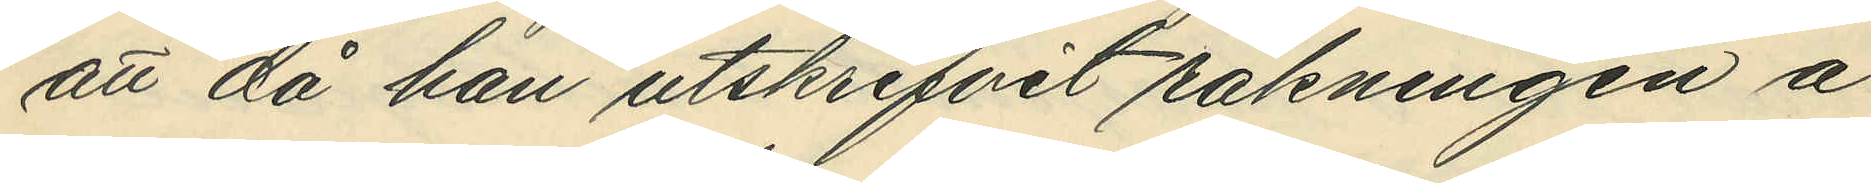att då han utskrifvit räkningen å
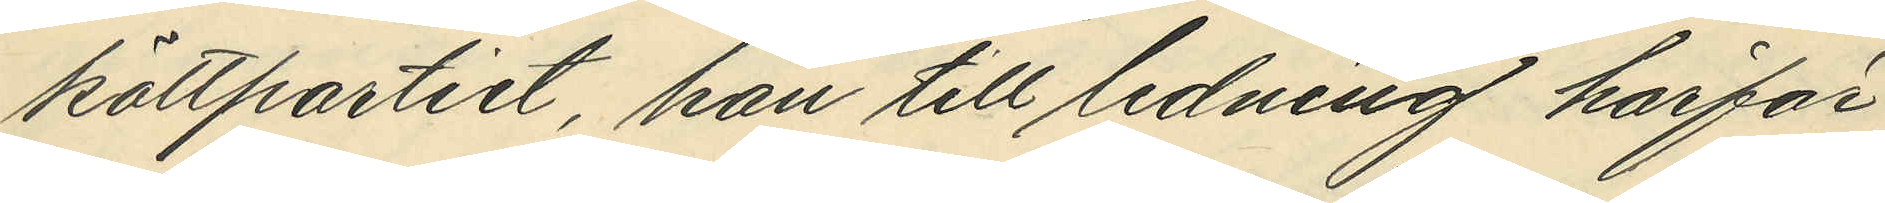köttpartiet, han till ledning härför
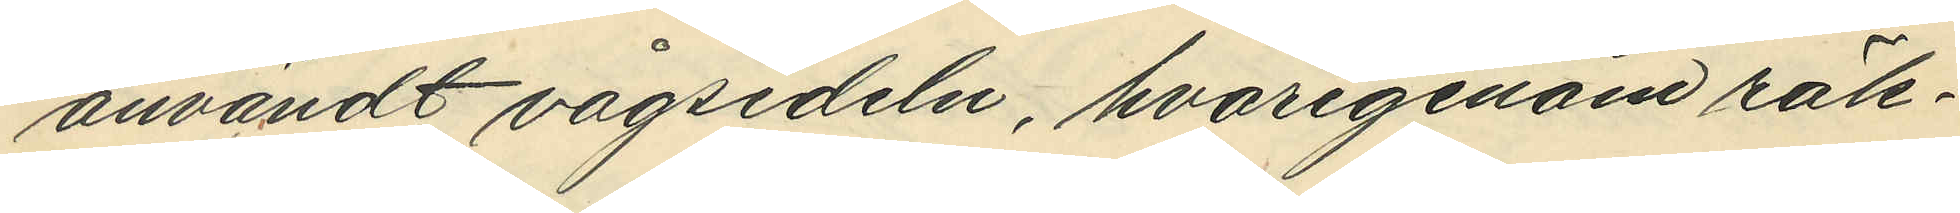användt vågsedeln, hvarigenom räk¬
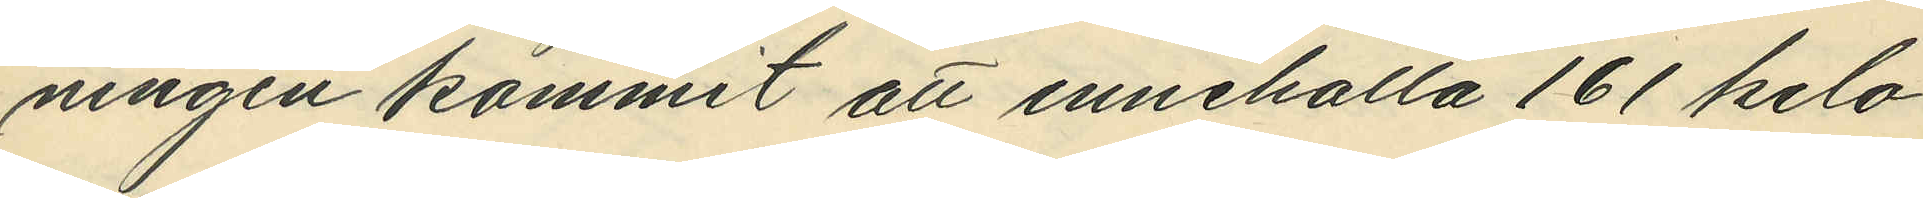ningen kommit att innehålla 161 kilo¬
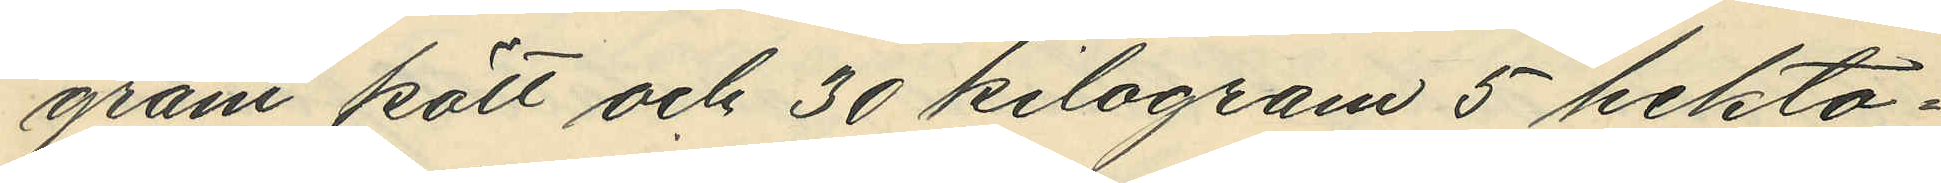gram kött och 30 kilogram 5 hekto¬
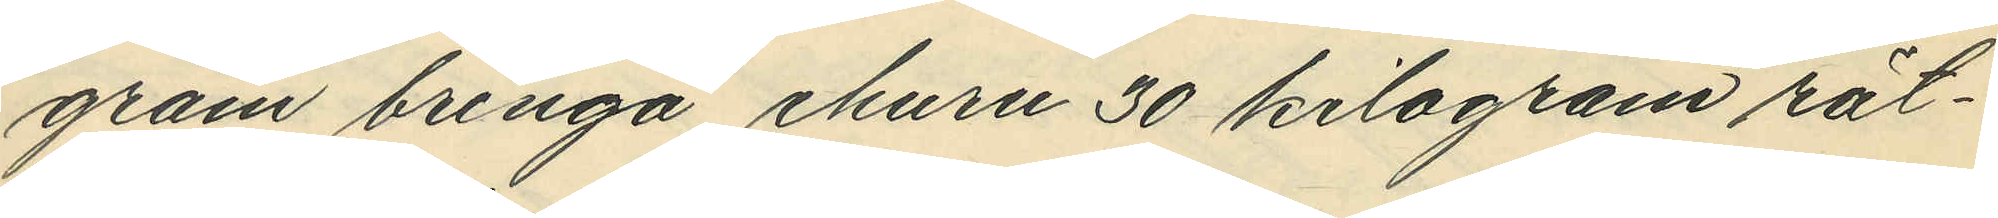gram bringa ehuru 30 kilogram rät¬
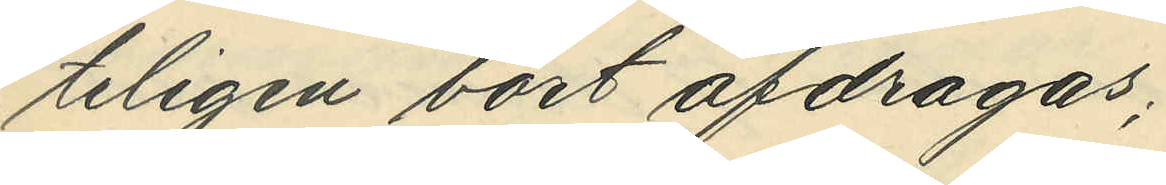teligen bort afdragas,
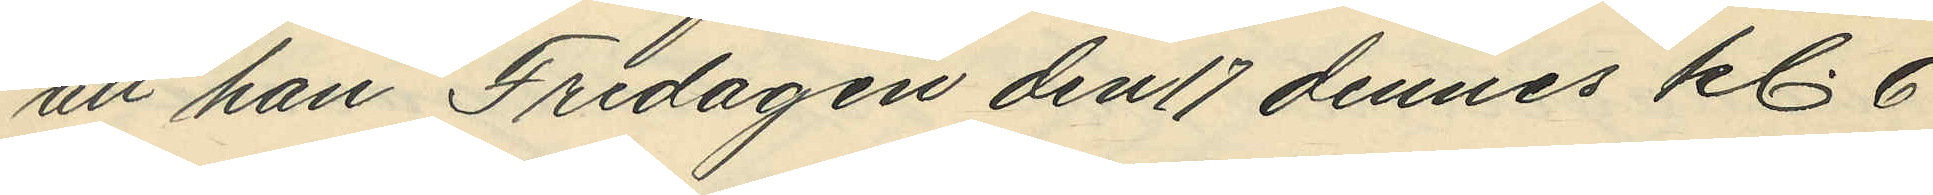att han Fredagen den 17 dennes kl. 6
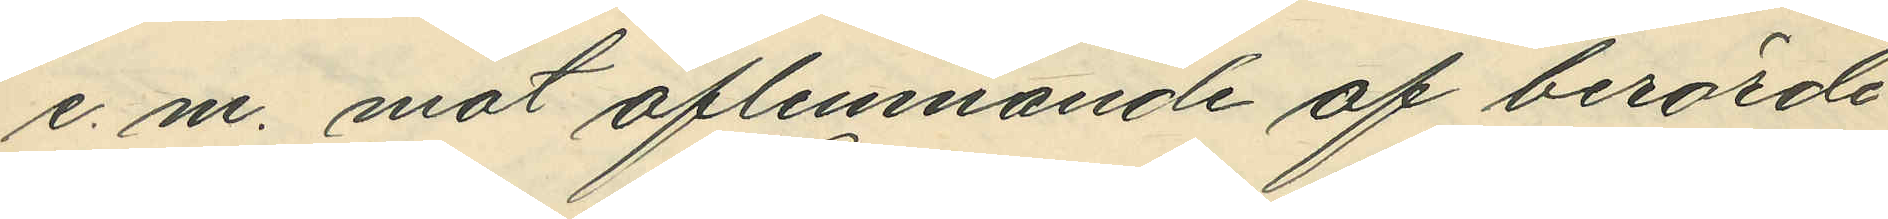e. m. mot aflemnande af berörde
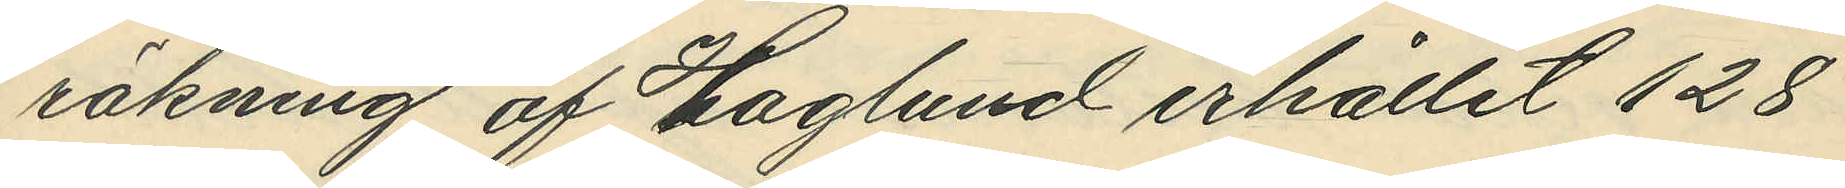räkning af Haglund erhållit 128
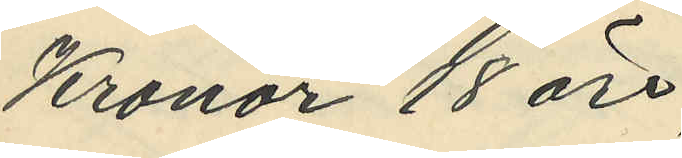Kronor 18 öre,
